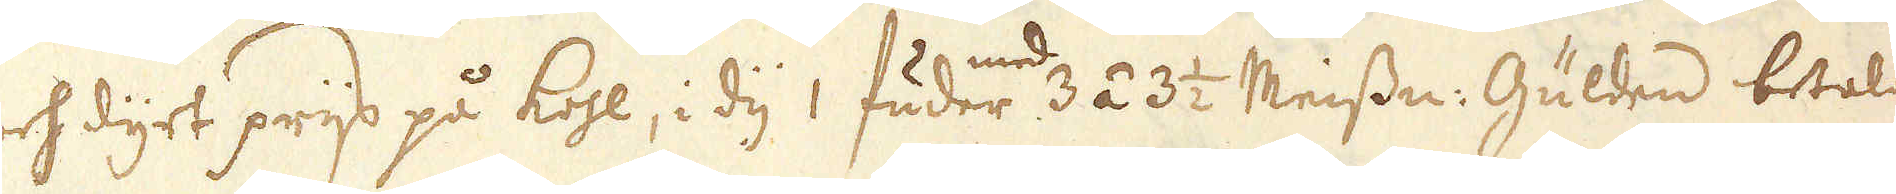och dyrt prijs på kohl, i dy 1 fuder med 3 á 3 1/2 Meissn: Gulden betales
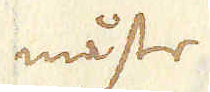måste.
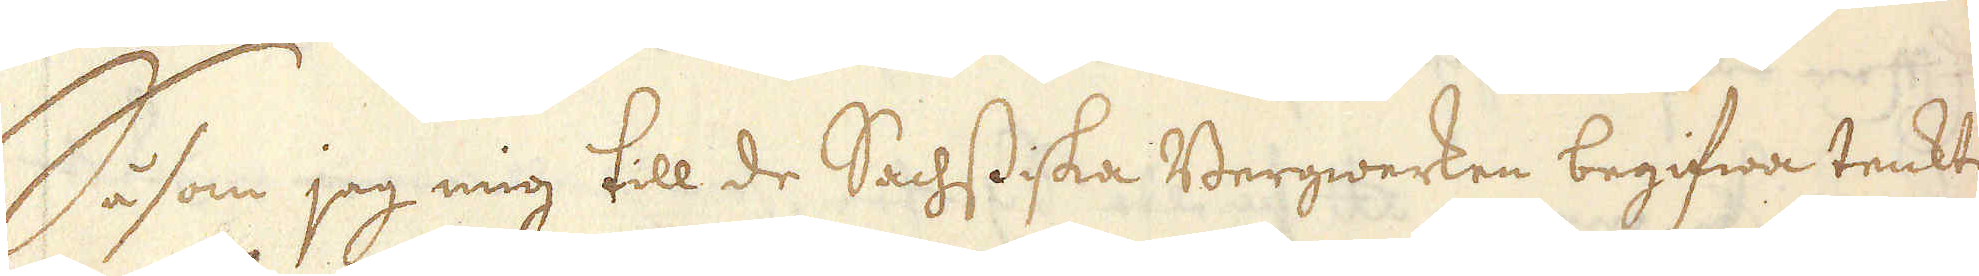Såsom jag mig till de Sachssiska Bergwerken begifwa tenkte,
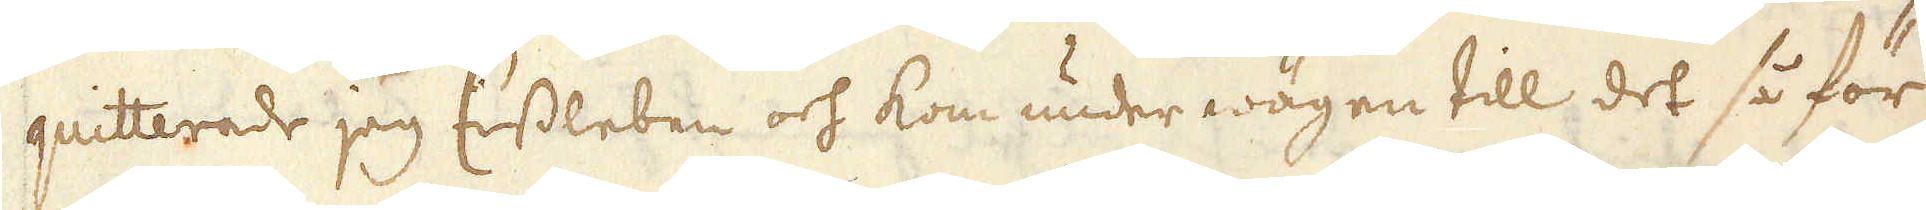quitterade jag Eissleben och kom under wägen till det så för
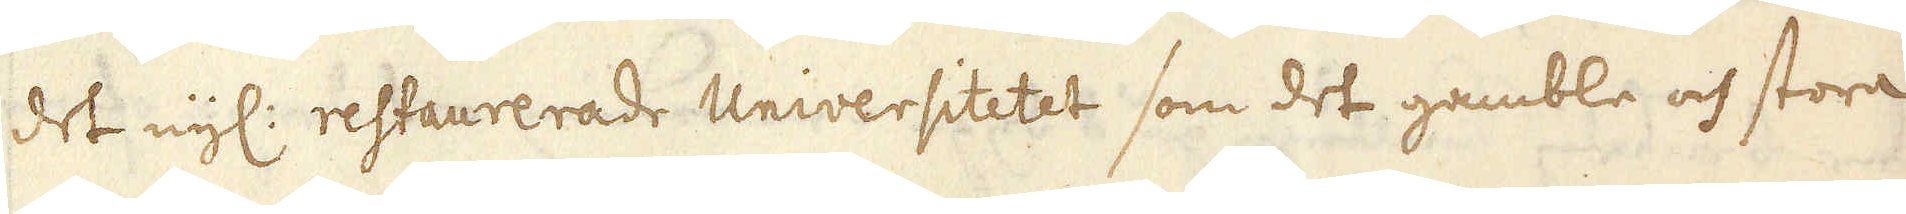det nyl: restaurerade Universitetet som det gamble och stora
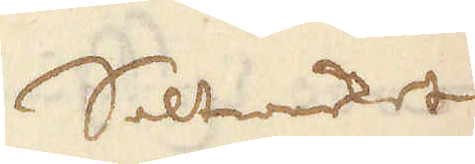Saltwerket
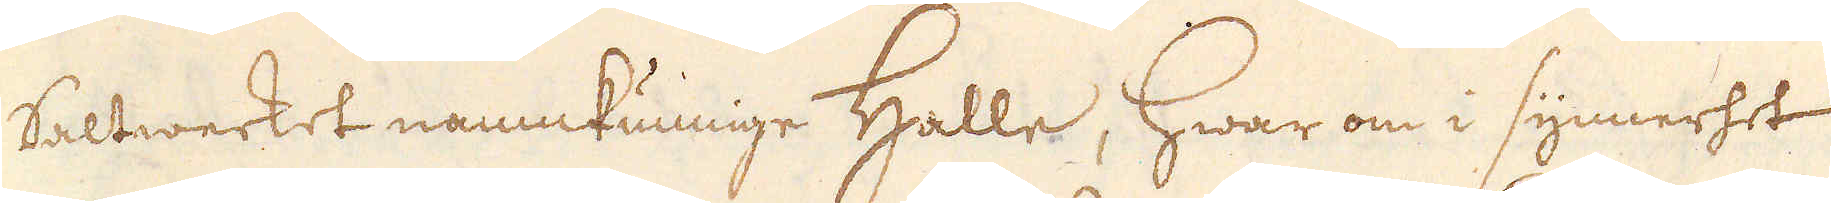Saltwerket namnkunnige Halle, hwar om i synnerhet
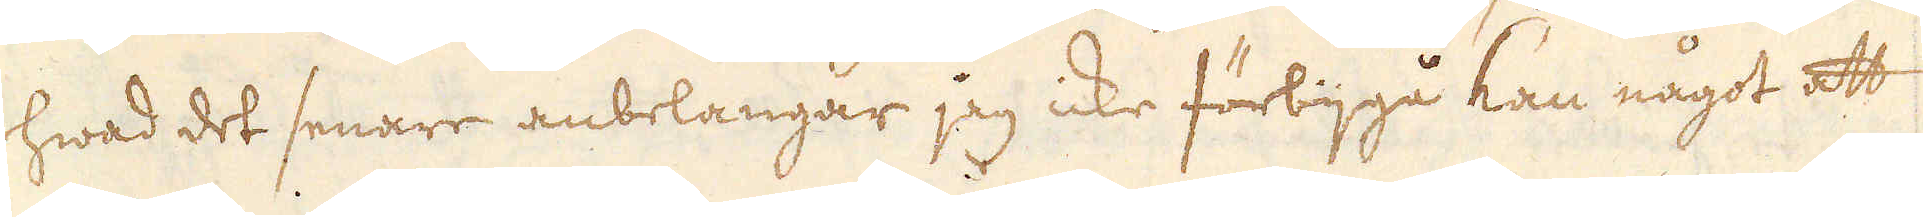hwad det senare anbelangar jag icke förbijgå kan något att
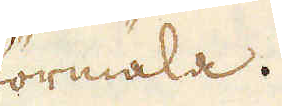förmäla.
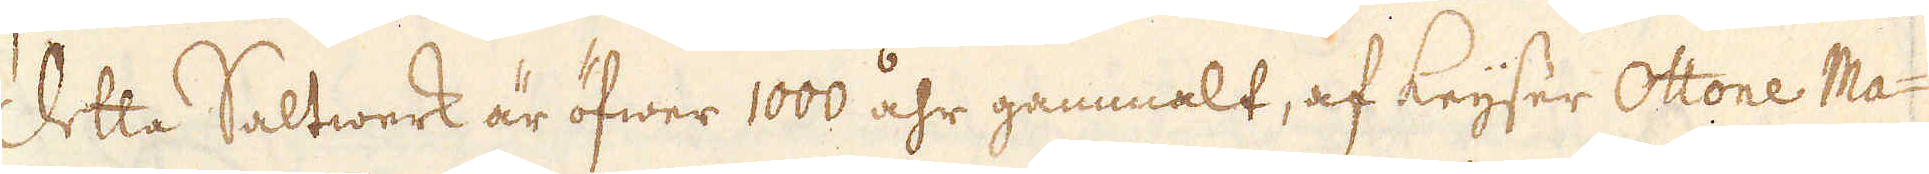Detta Saltwerk är öfwer 1000 åhr gammalt, af Keyser Ottone Ma-
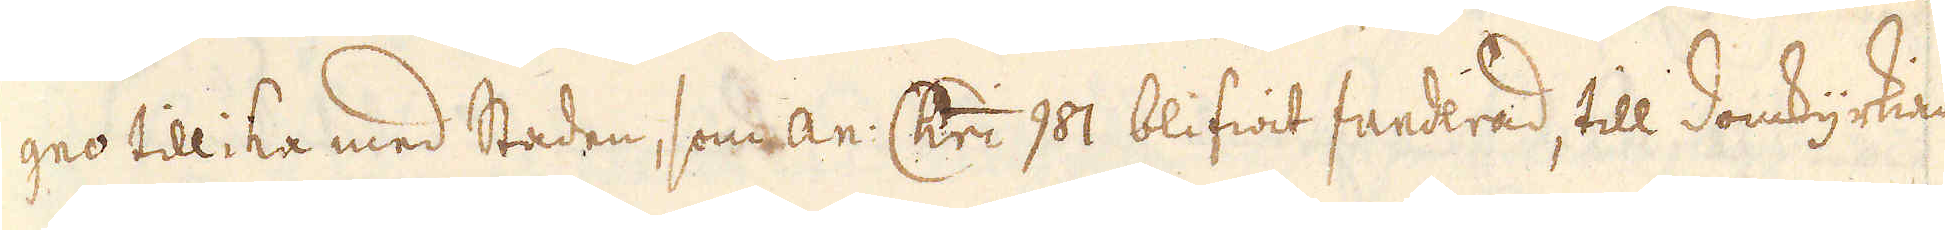gno tillika med Staden, som an: Chri 981 blifwit funderad, till domkyrkian
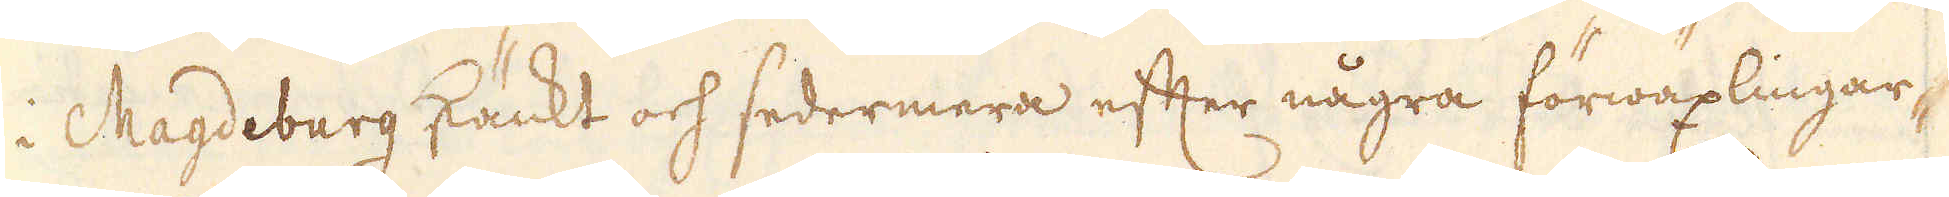i Magdeburg skänkt och sedermera efter några förwäxlingar,
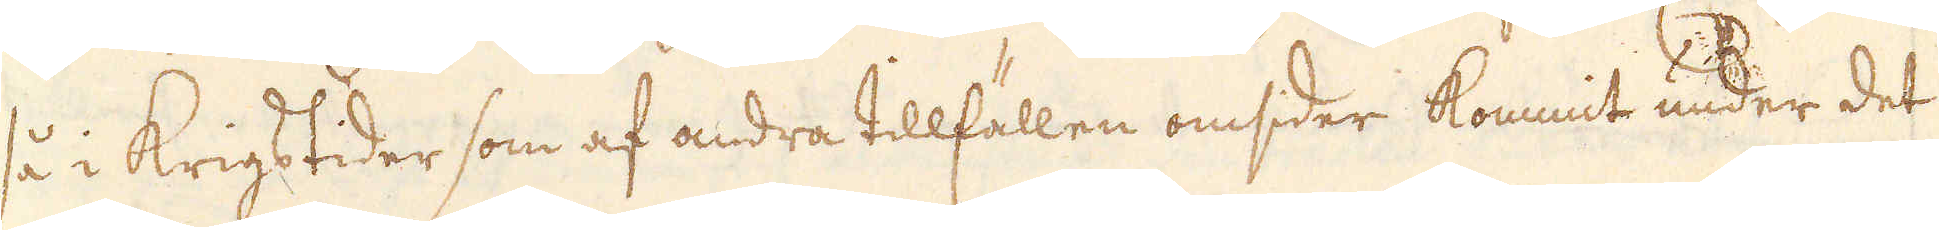så i Krigstider som af andra tillfällen omsder kommit under det
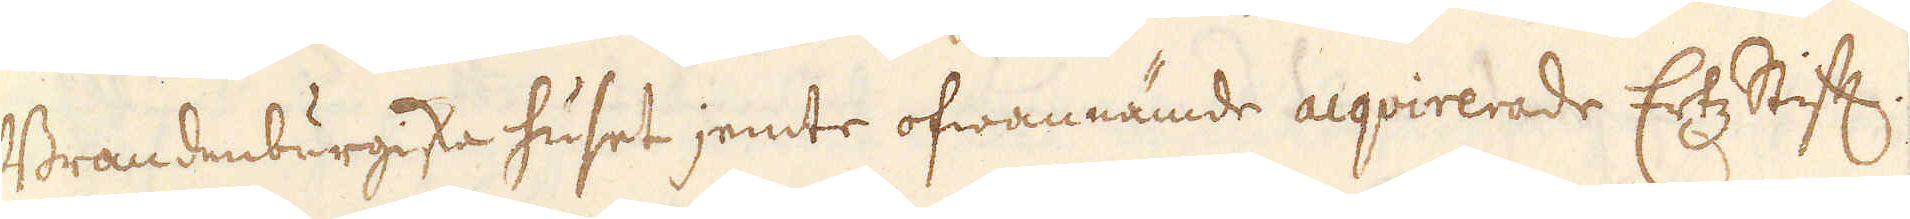Brandenburgiska huset jemte ofwannämde acqvirerade Ertz Stift.
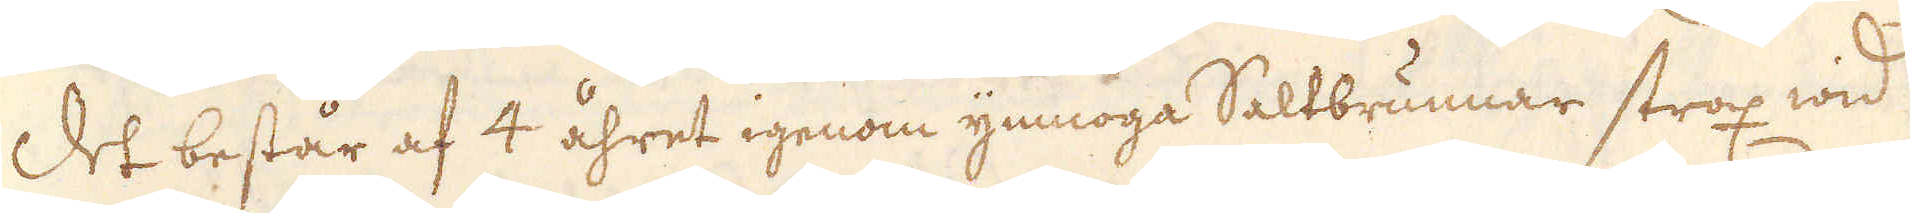Det består af 4 åhret igenom ymnoga Saltbrunnar strax wid
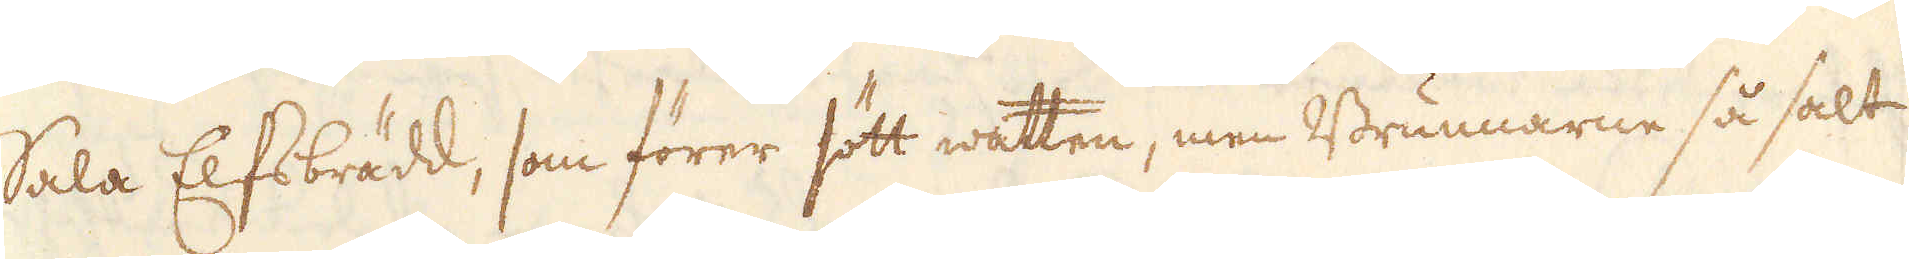Sala Elfs brädd, som förer sött watten, men Brunnarne så salt
